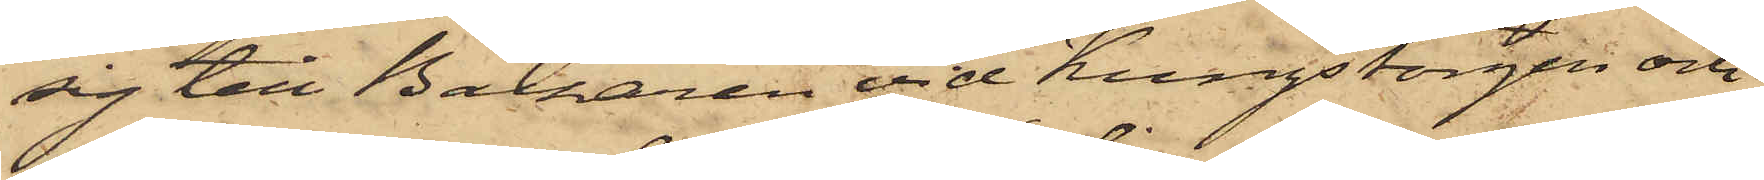sig till Bazaren vid Kungstorgen och
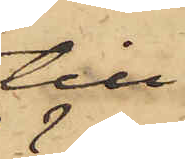till
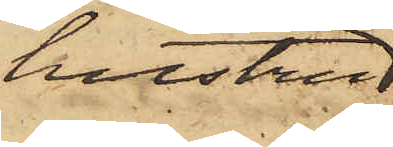hustru
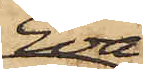Eva
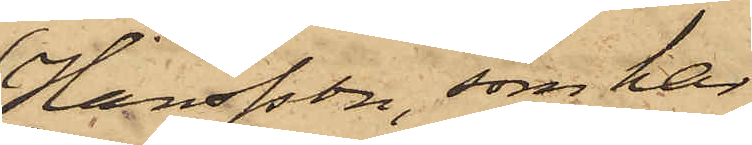Hansson, som har
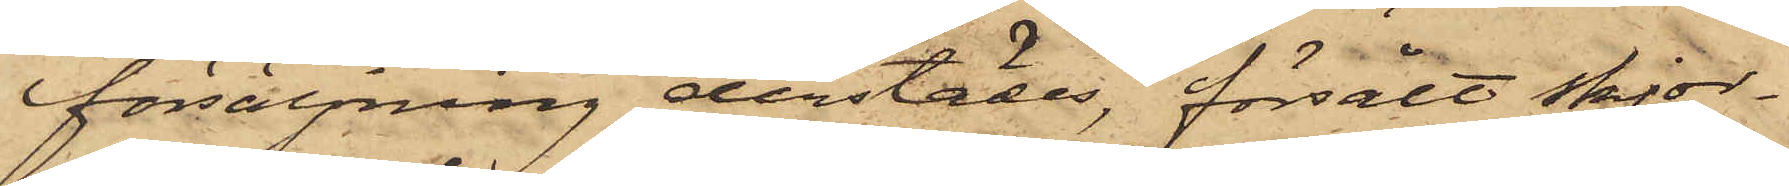försäljning derstädes, försålt skjor¬
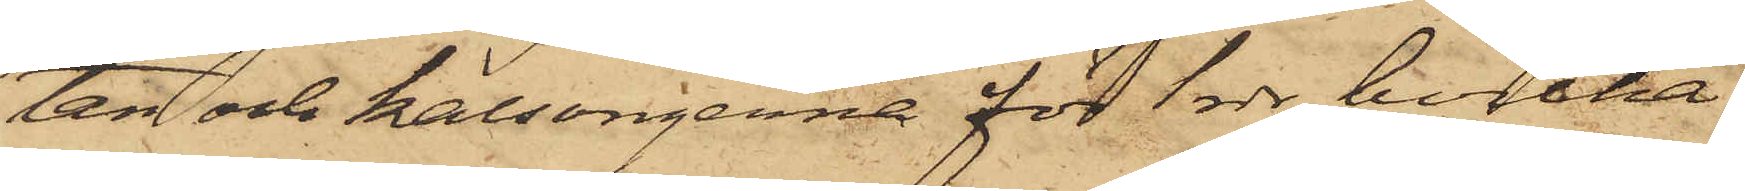tan och kalsongerna för 1 rdr, hvilka
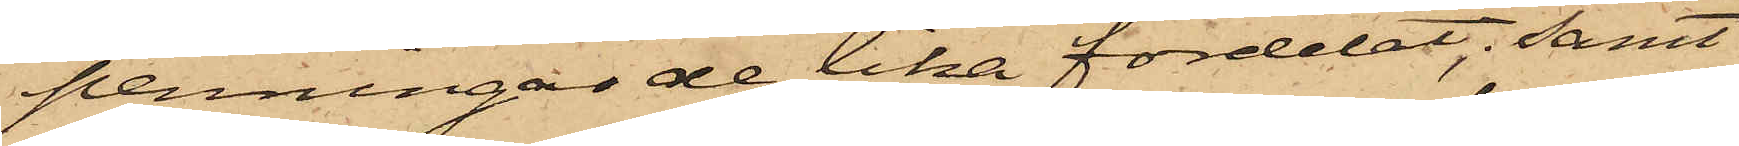penningar de lika fördelat, samt
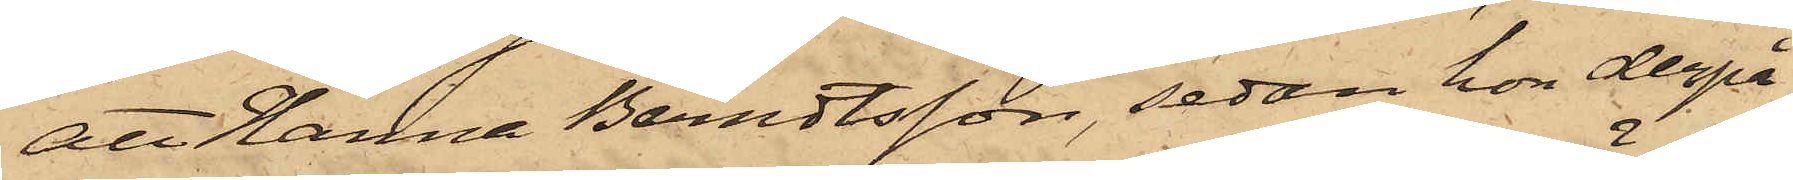att Hanna Berndtsson, sedan hon derpå
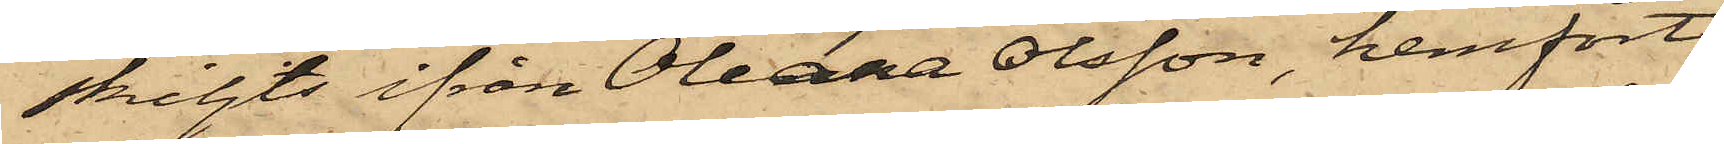skiljts ifrån Oleana Olsson, hemfört
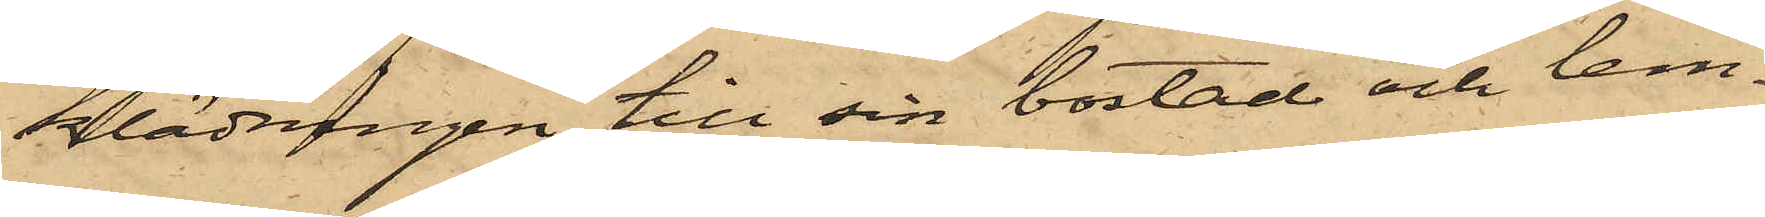klädningen till sin bostad och lem¬
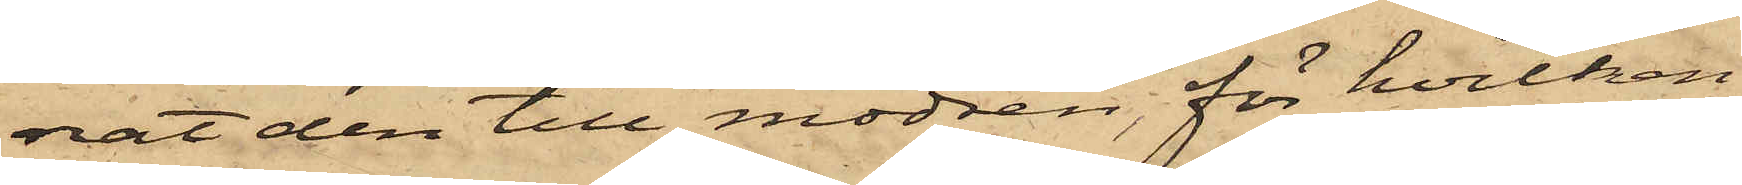rat den till modren, för hvilken
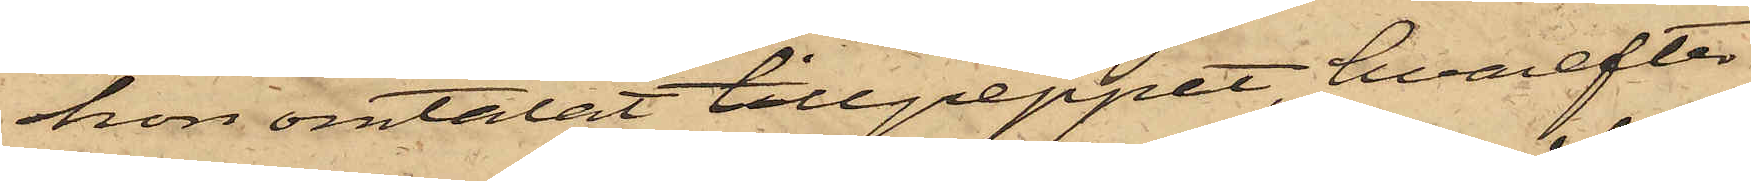hon omtalat tillgreppet, hvarefter
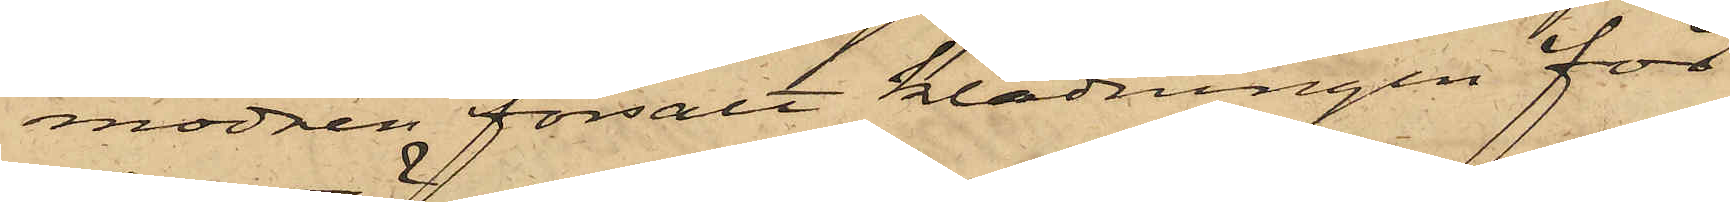modren försålt klädningen för
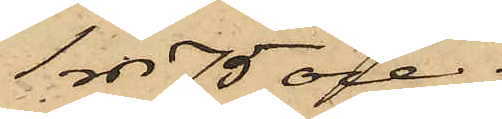1 rdr 75 öre.
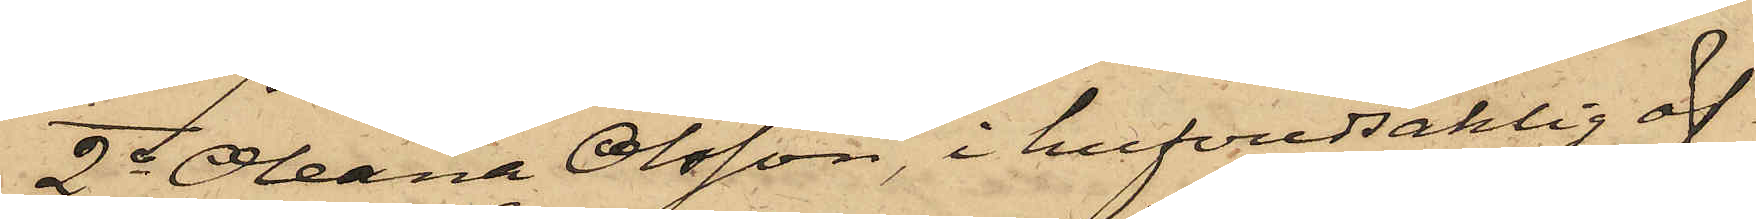2o Oleana Olsson, i hufvudsaklig öf¬
